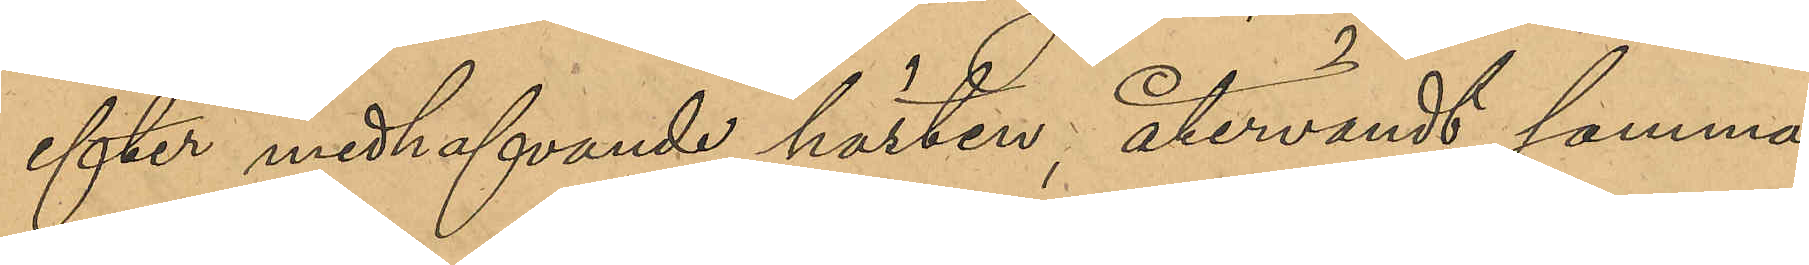efter medhafvande hästen, återvänt samma
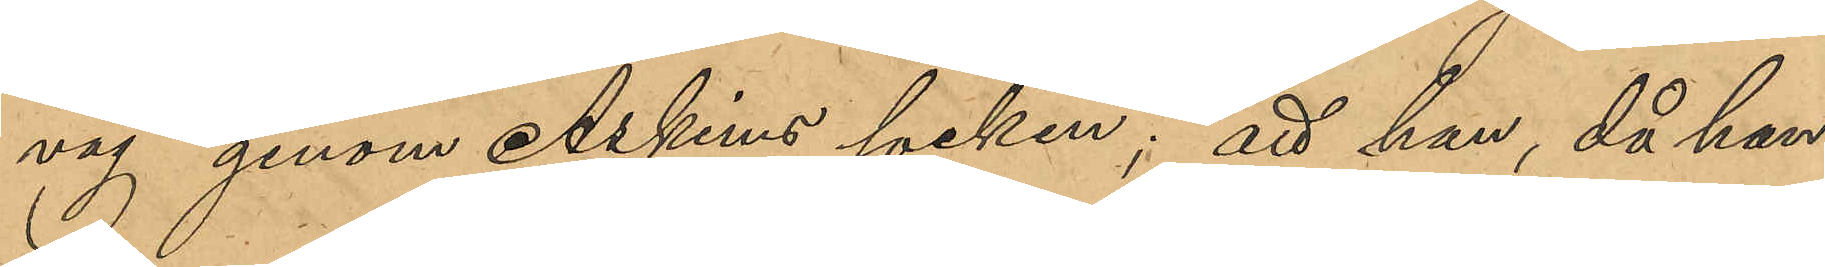väg genom Askims socken; att han, då han
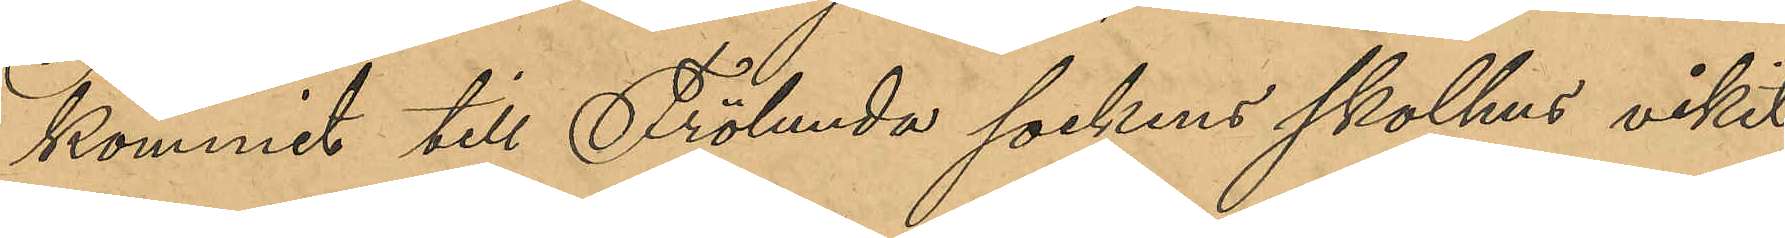kommit till Frölunda sockens skolhus vikit
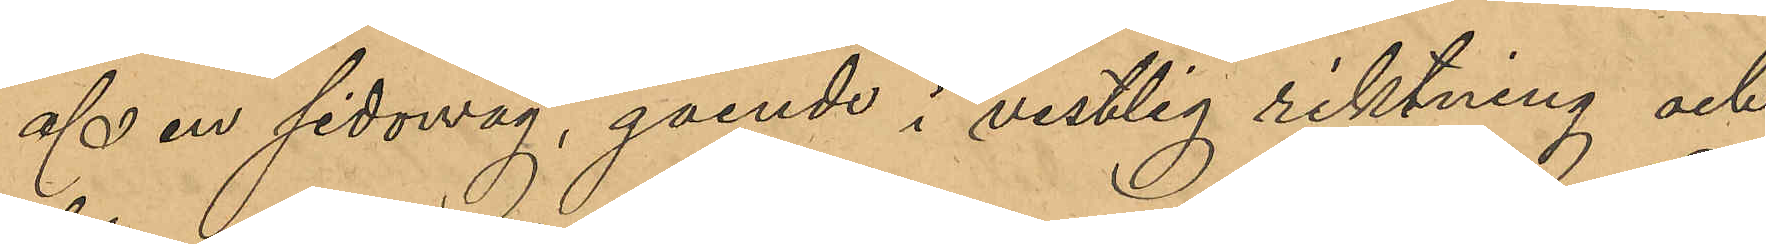af en sidoväg, gående i vestlig riktning och
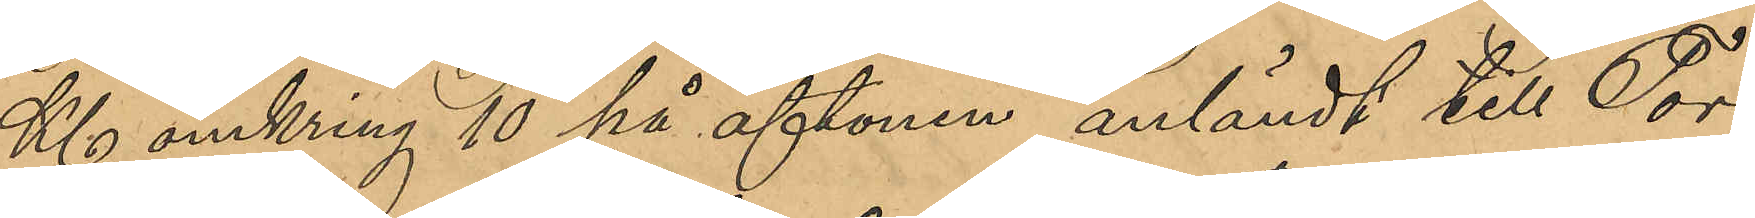Kl omkring 10 på aftonen anländt till Tor¬
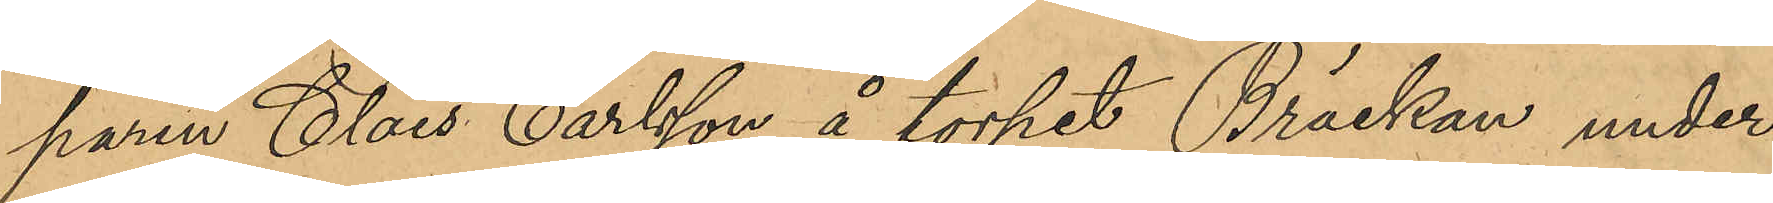paren Claes Carlsson å torpet Bräckan under
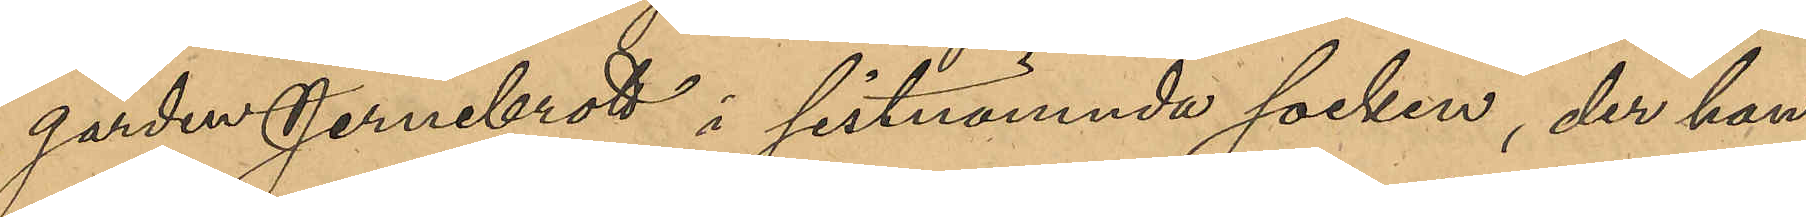gården Jernebrott i sistnämnde socken, der han
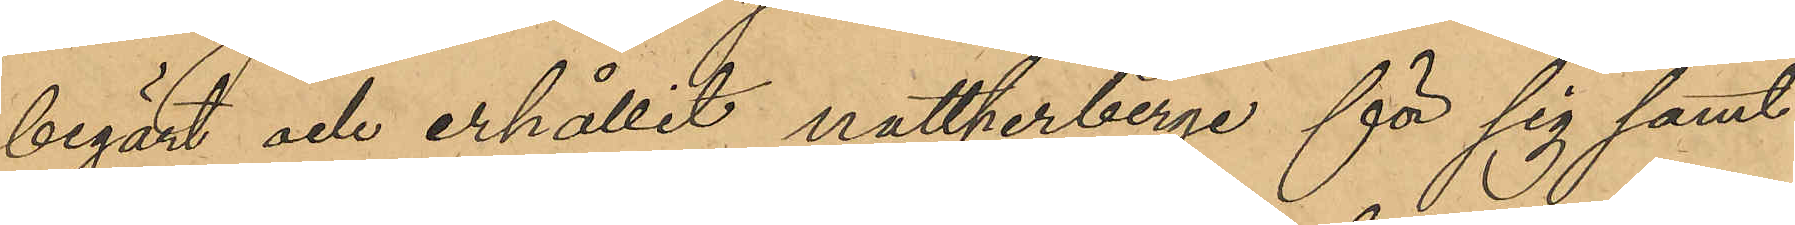begärt och erhållit nattherberge för sig samt
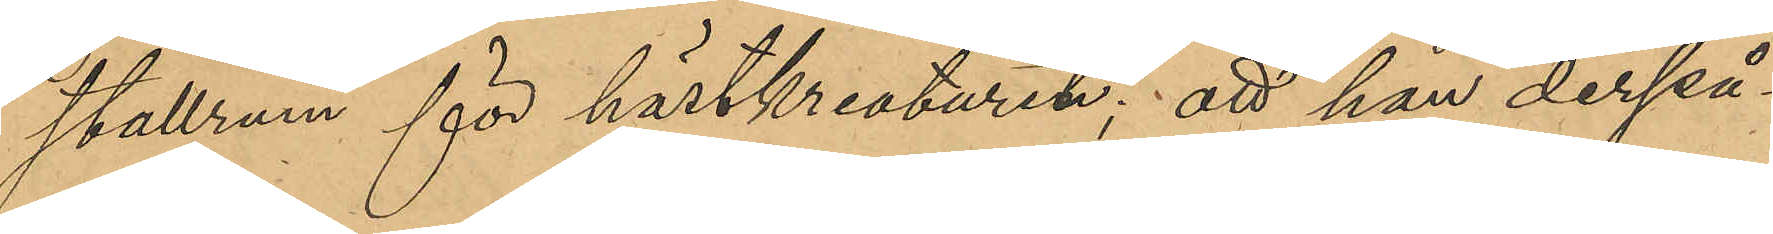stallrum för hästkreaturet; att han derpå
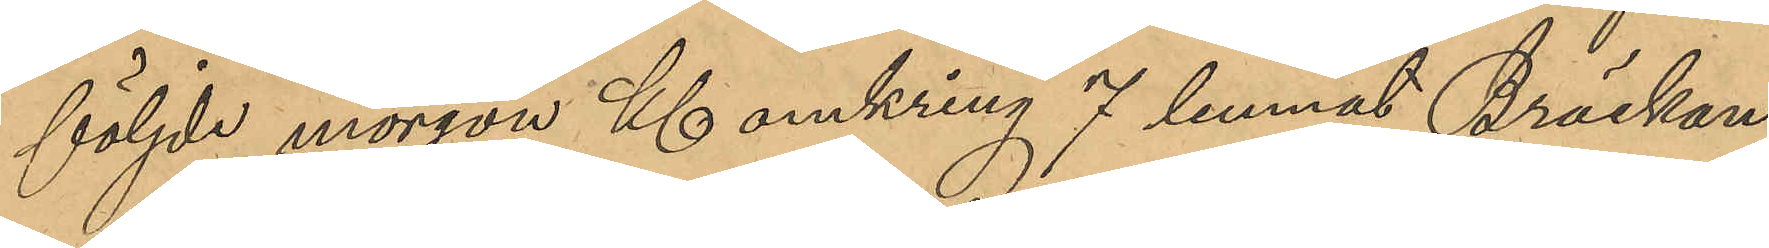följde morgon Kl omkring 7 lemnat Bräckan
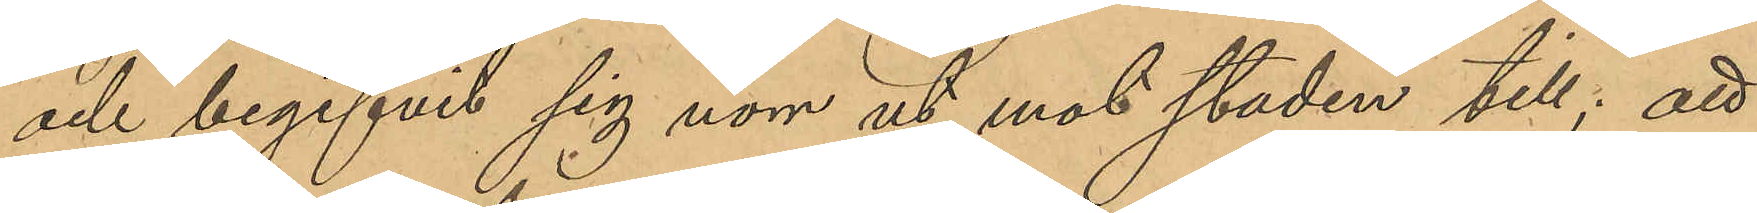och begifvit sig norr ut mot staden till; att
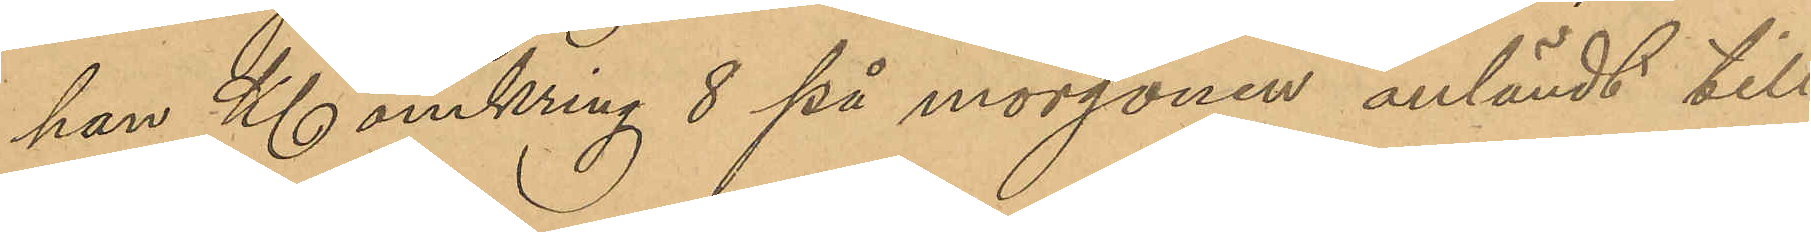han Kl omkring 8 på morgonen anländt till
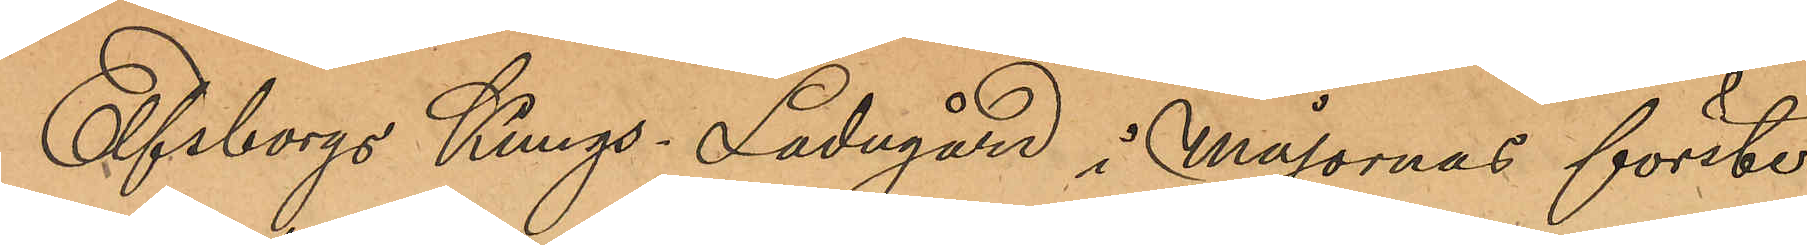Elfsborgs Kungs Ladugård i Majornas förste
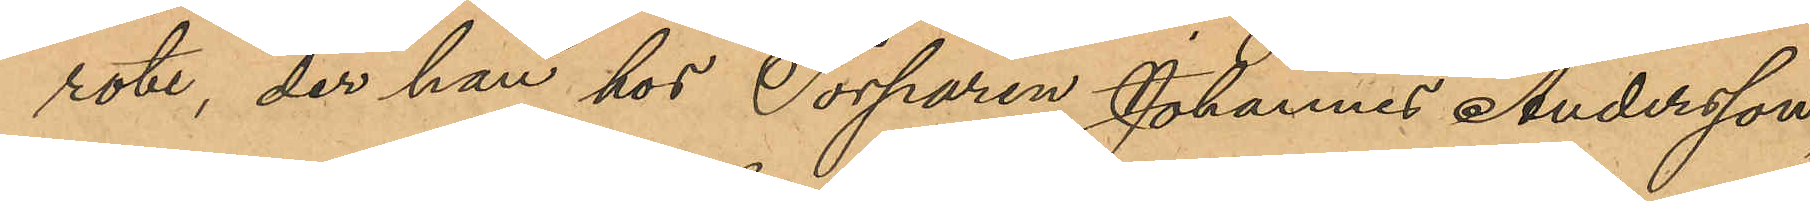rote, der han hos Torparen Johannes Andersson,
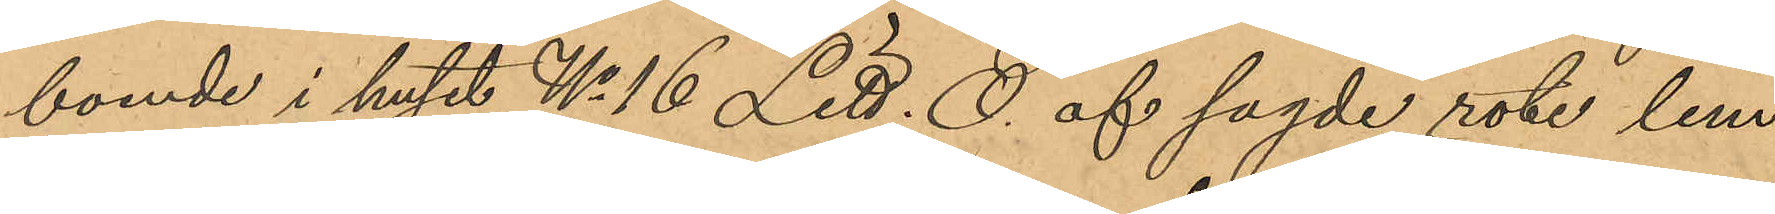bonde i huset No 16 Litt. O af sagde rote lem¬
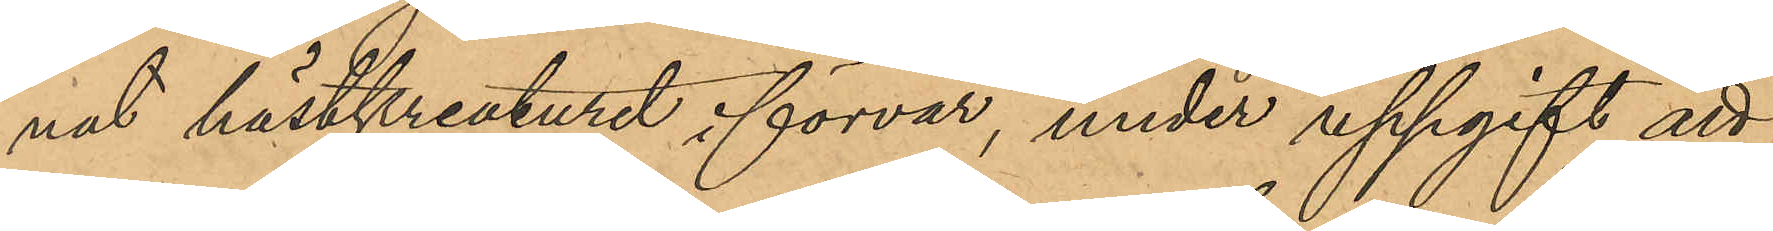nat hästkreaturet i förvar, under uppgift att
